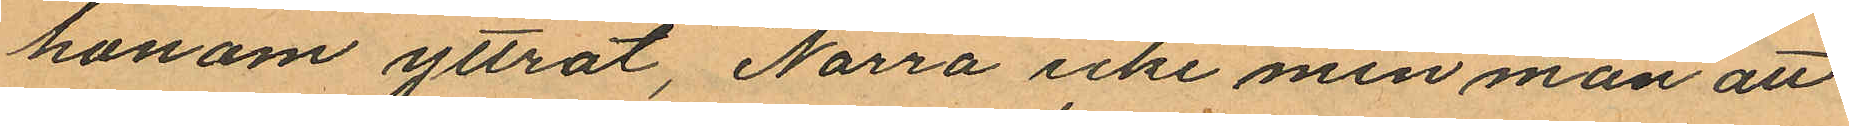honom yttrat, "Narra icke min man att
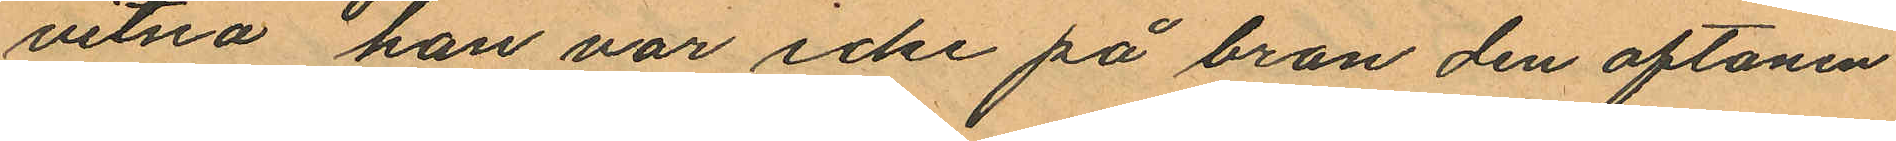vitna han var icke på bron den aftonen
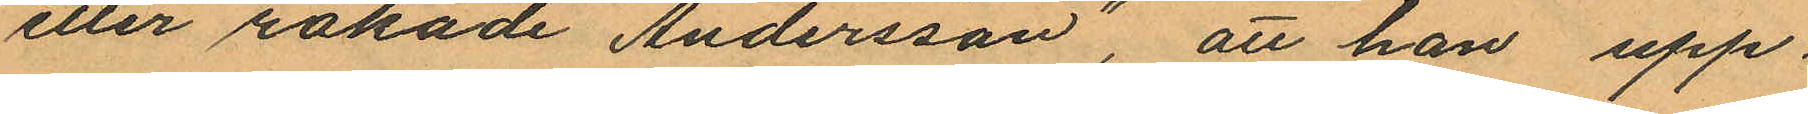eller råkade Andersson", att han upp¬
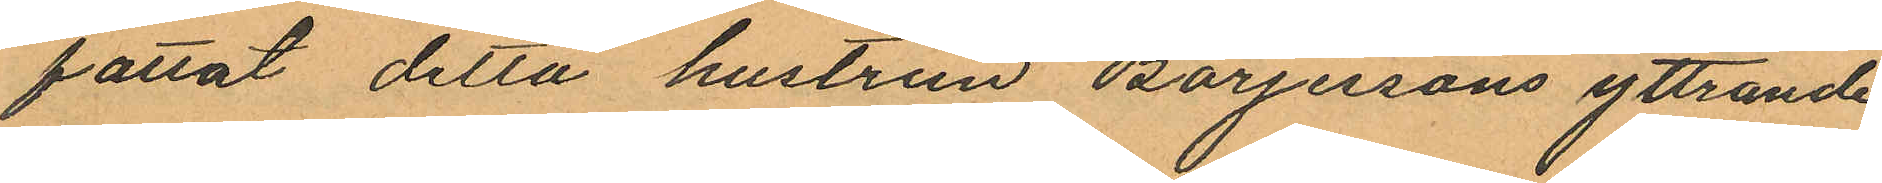fattat detta hustrun Börjersons yttrande
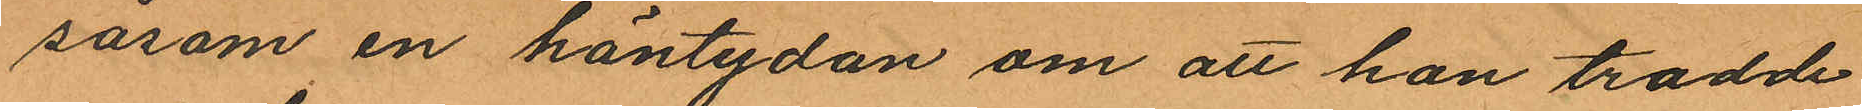såsom en häntydan om att han trodde
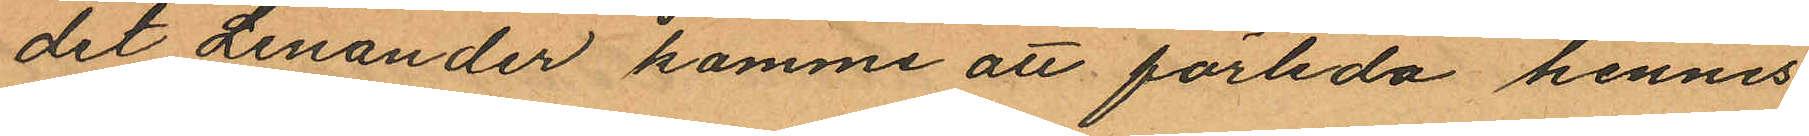det Lenander komme att förleda hennes
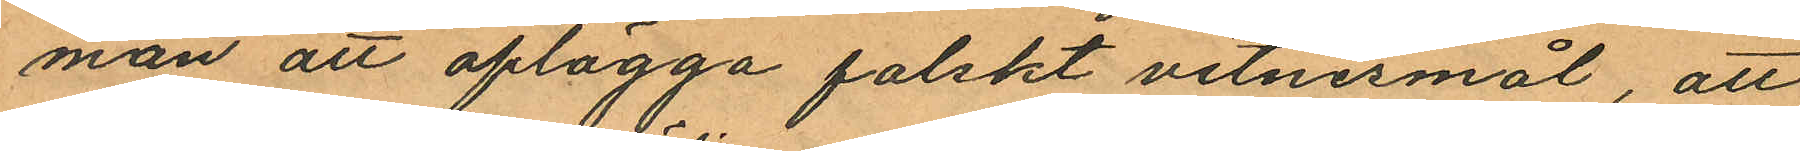man att aflägga falskt vitnesmål, att
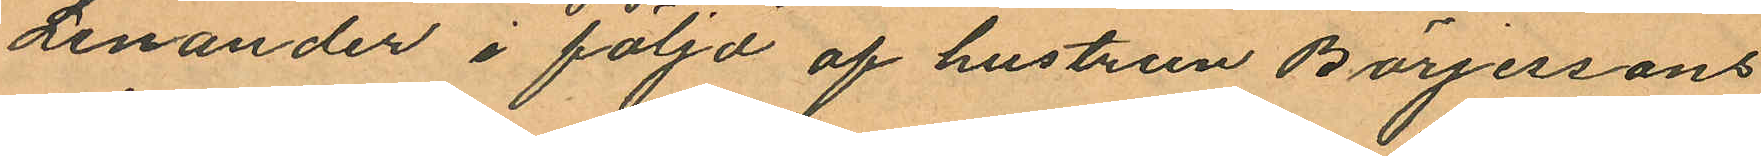Lenander i följd af hustrun Börjessons
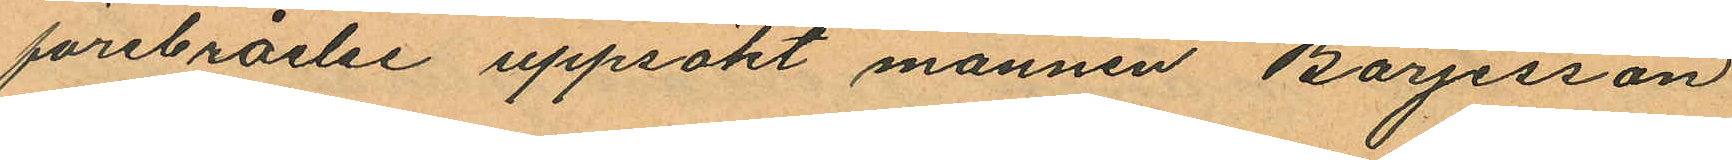förebråelse uppsökt mannen Börjesson
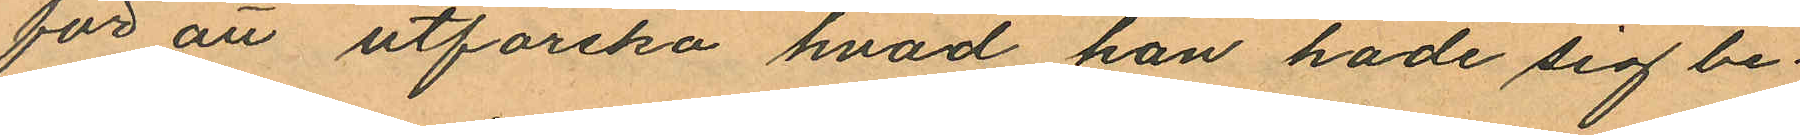för att utforska hvad han hade sig be¬
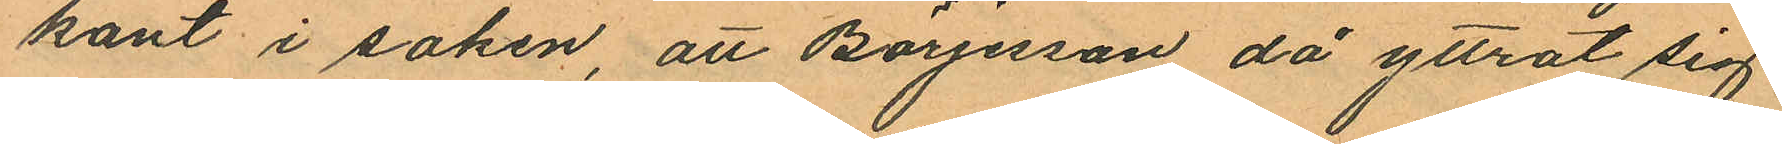kant i saken, att Börjesson då yttrat sig
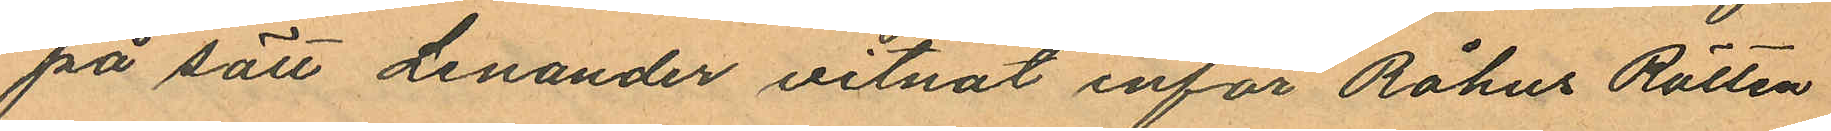på sätt Lenander vitnat inför Råhus Rätten
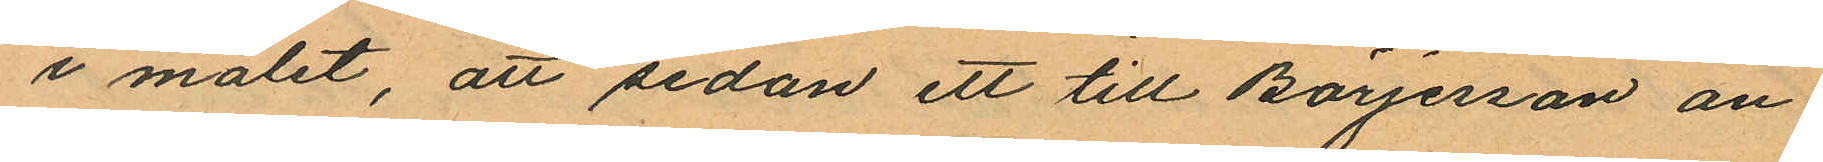i målet, att sedan ett till Börjerson an
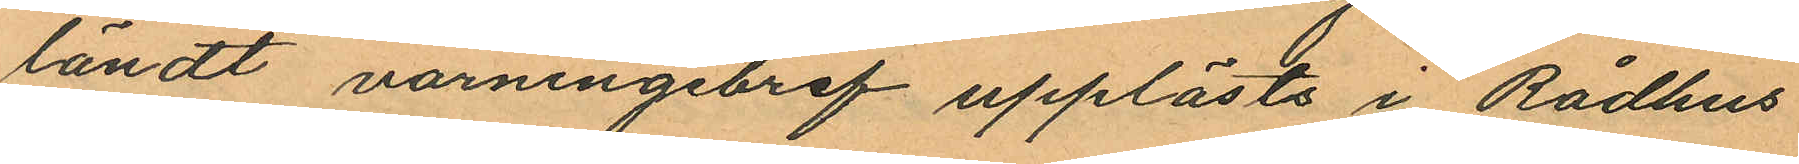ländt varningsbref upplåsts i Rådhus
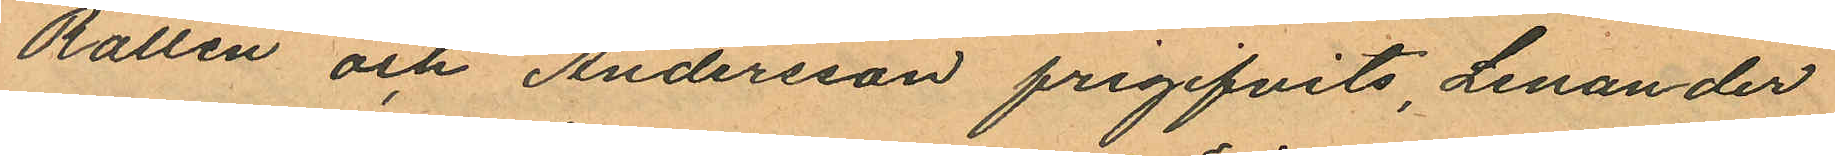Rätten och Andersson frigifvits, Lenander
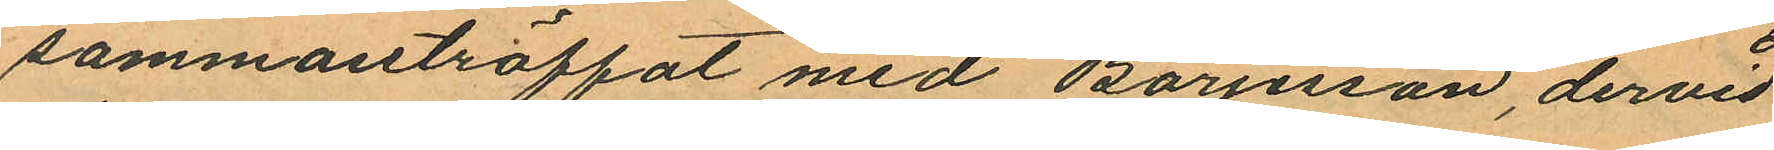sammanträffat med Börjesson, dervid
